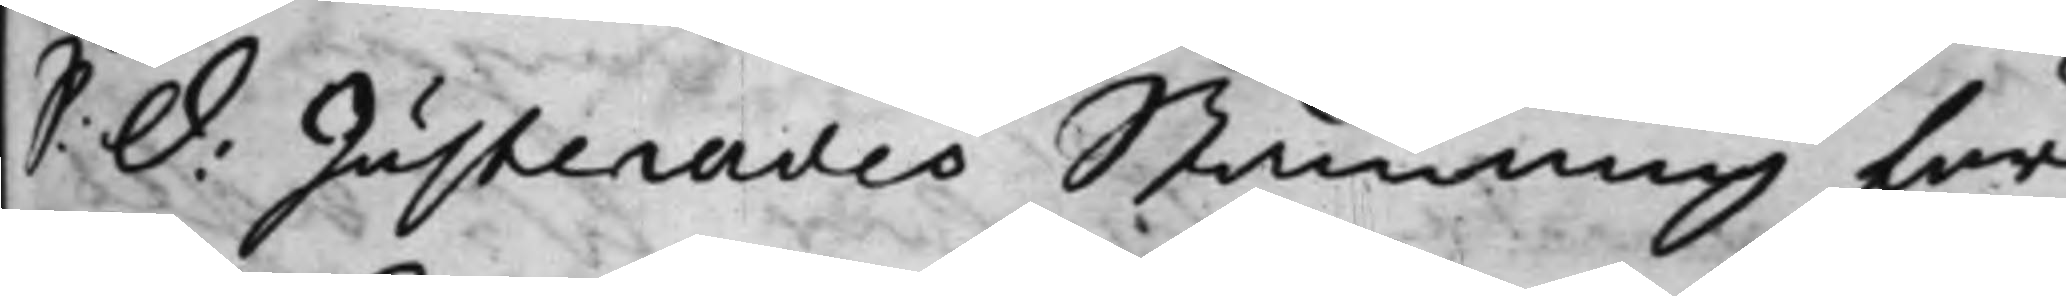S: d: Justerades Stämning för
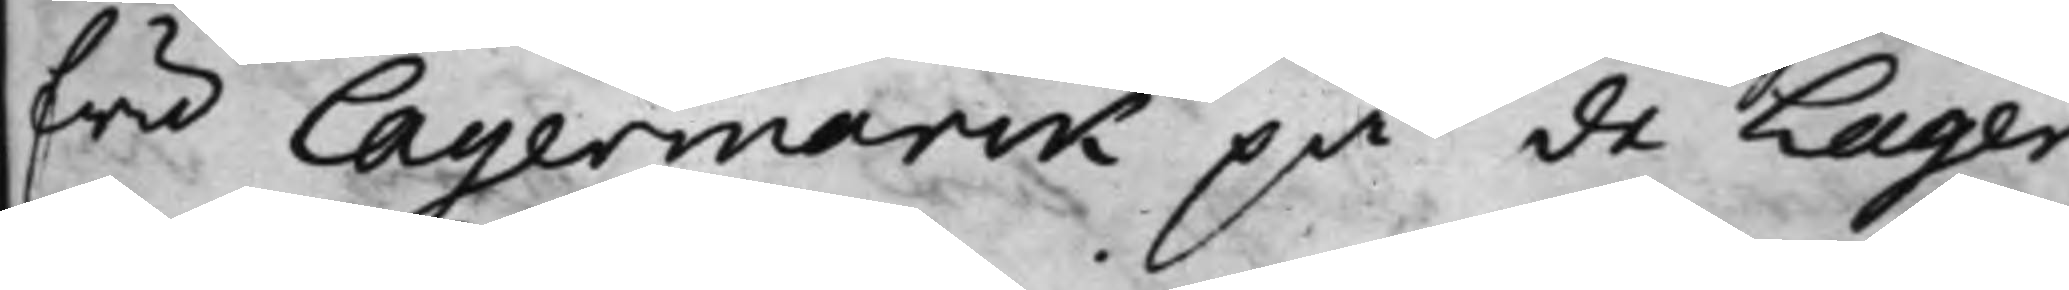fru Lagermarck på de Lager¬
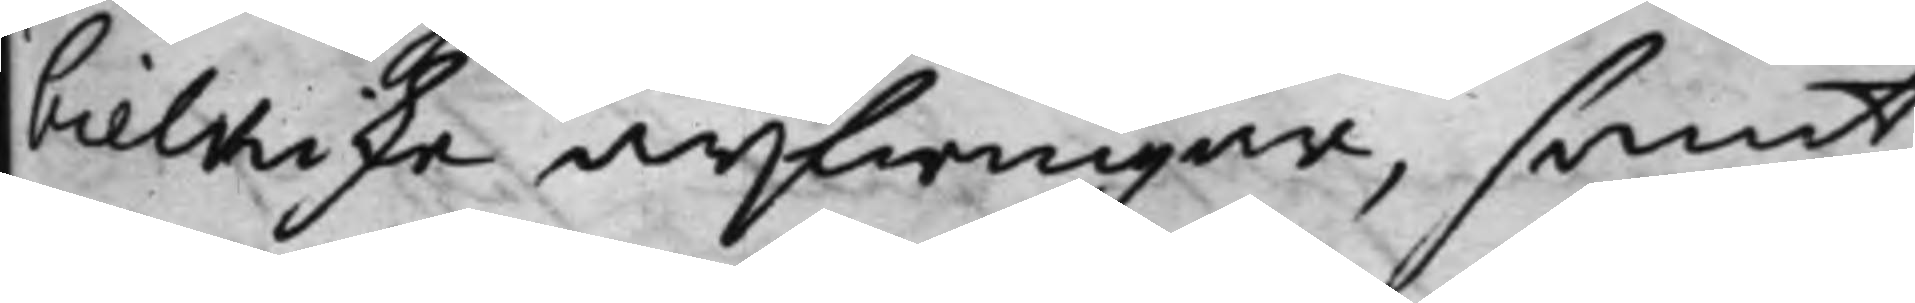bielkiske arfwingar, samt
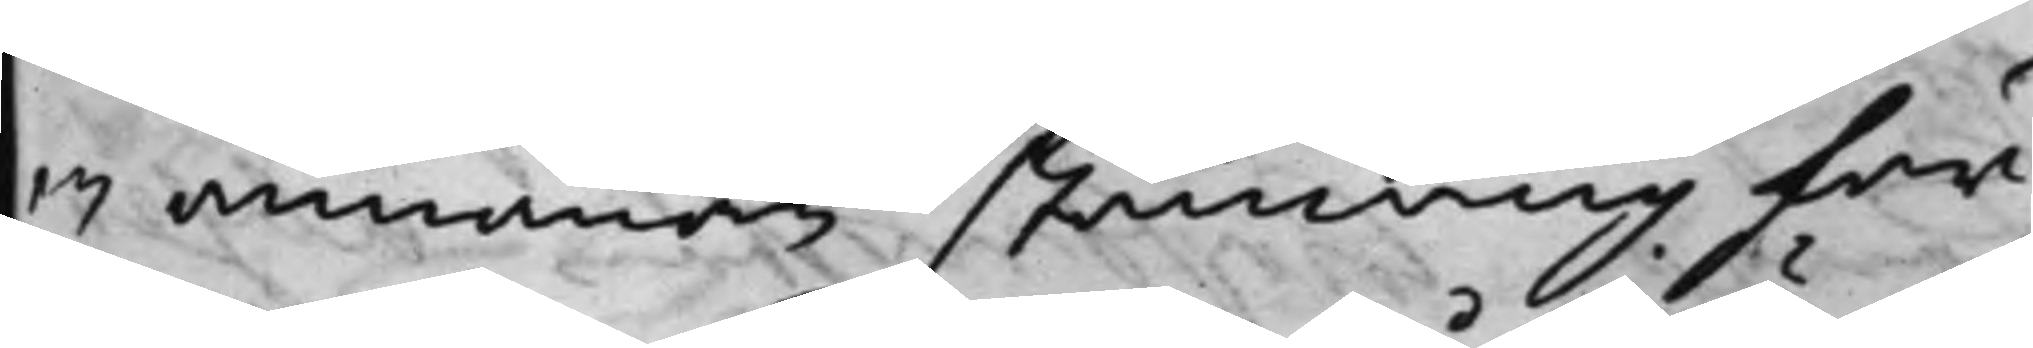en annanan stämning för
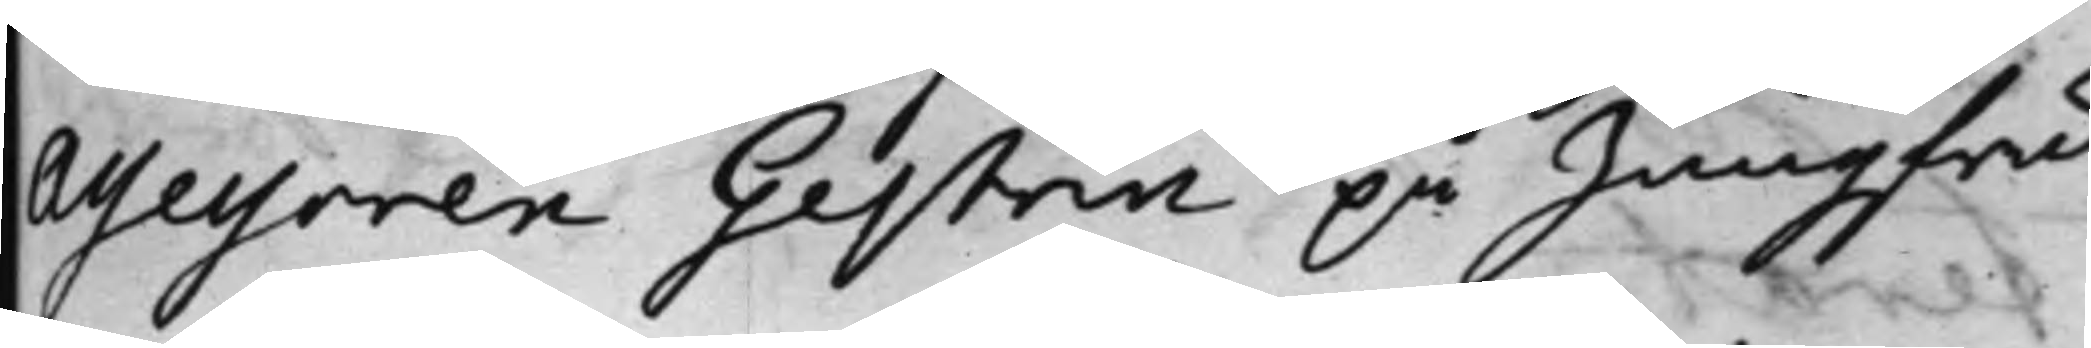Assessoren Gestrin på Jungfru
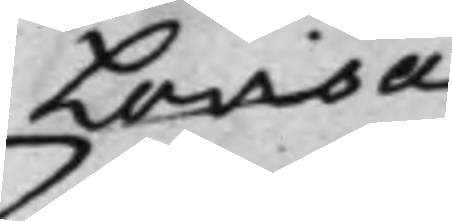Lovisa
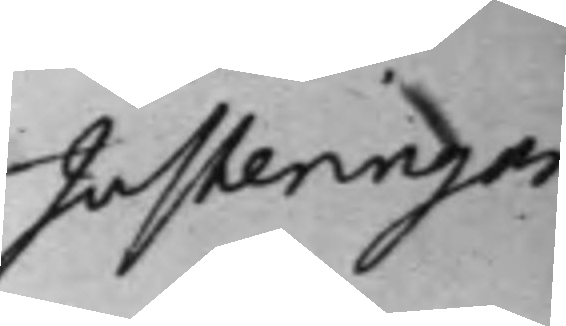Justeringar 
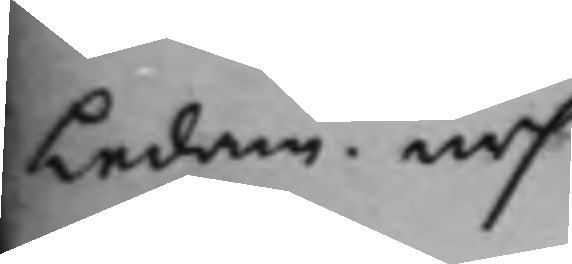Ledam. urs.
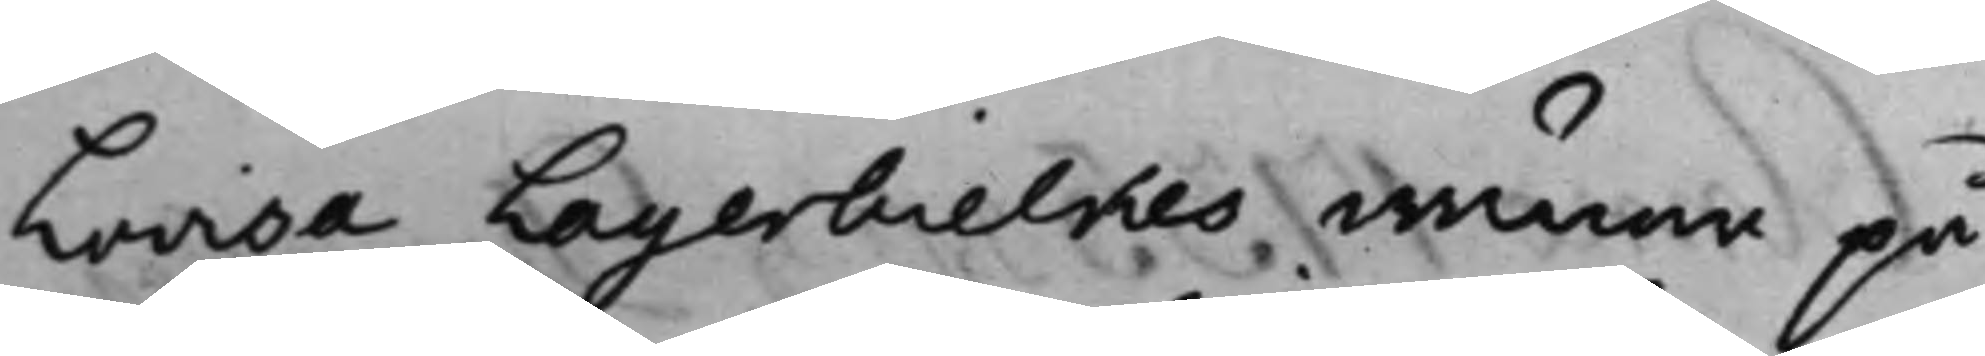Lovisa Lagerbielkes wänar på
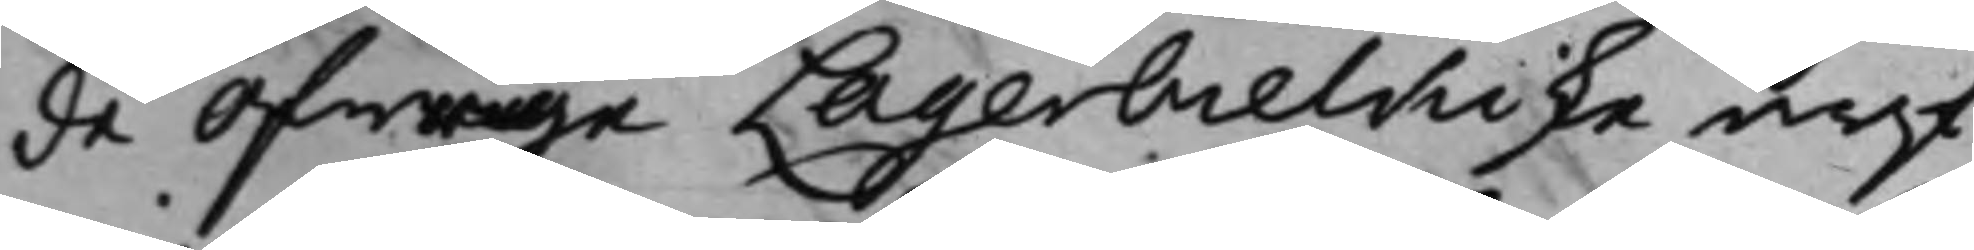de öfrige Lagerbielkiske arf¬
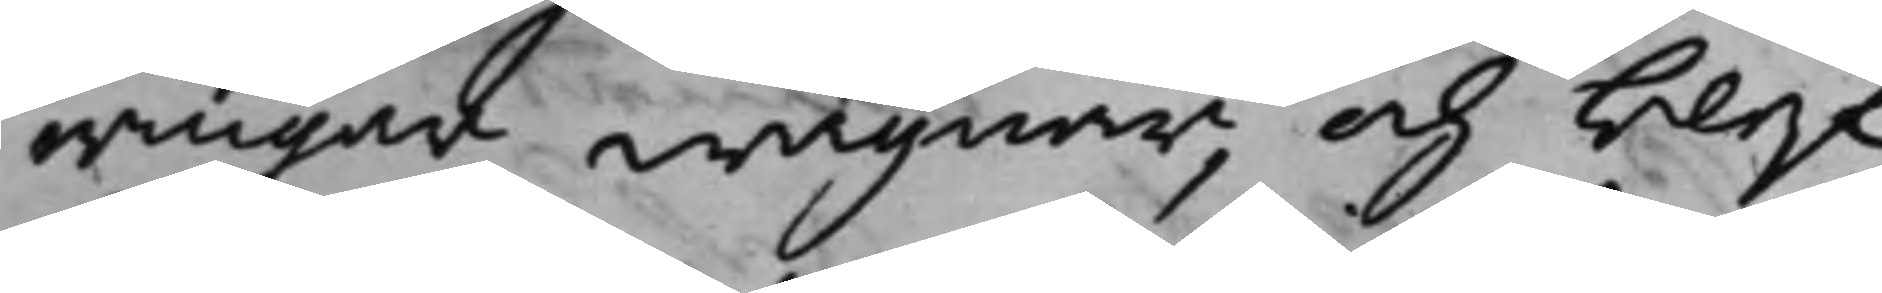wingar wägnar, och blef
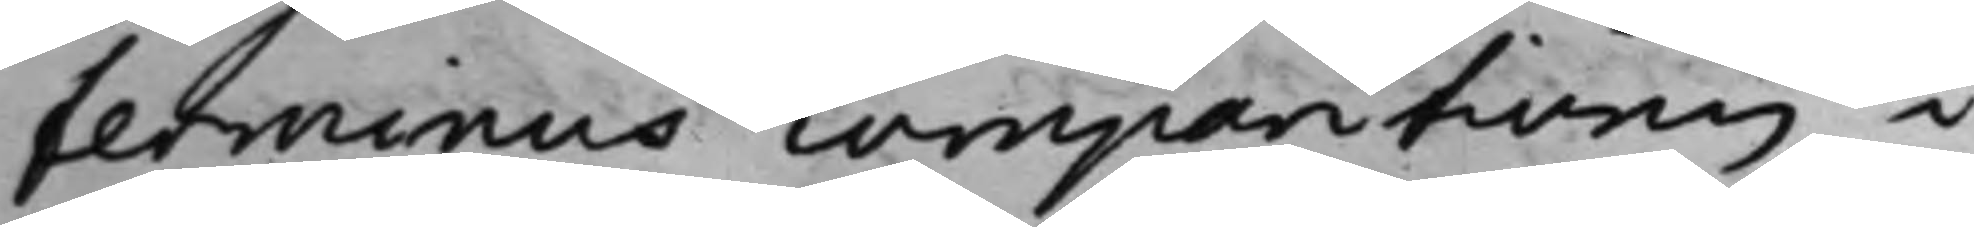terminus comparitionis i
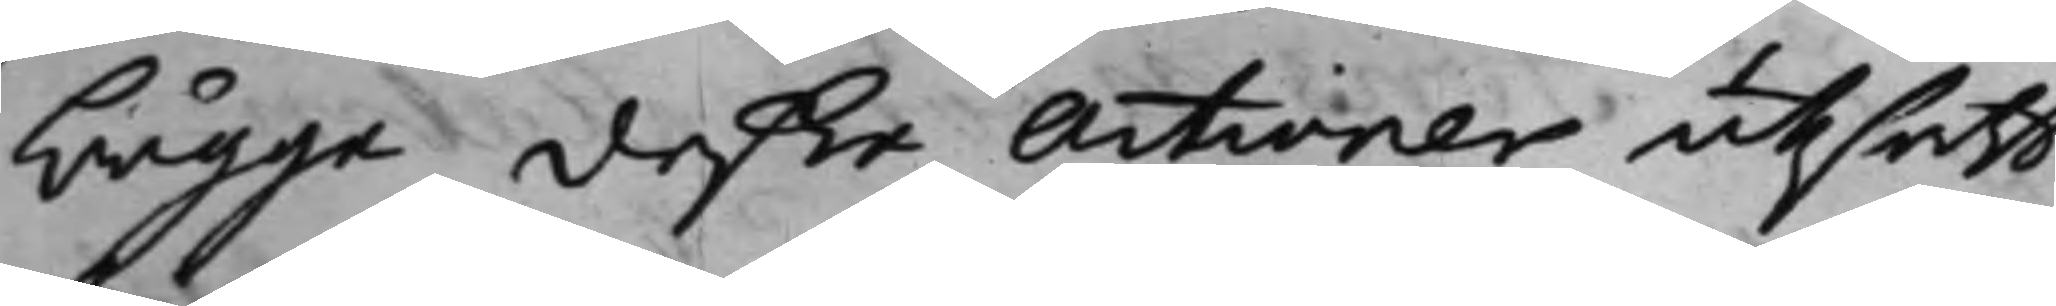bägge deße Actioner utsatt
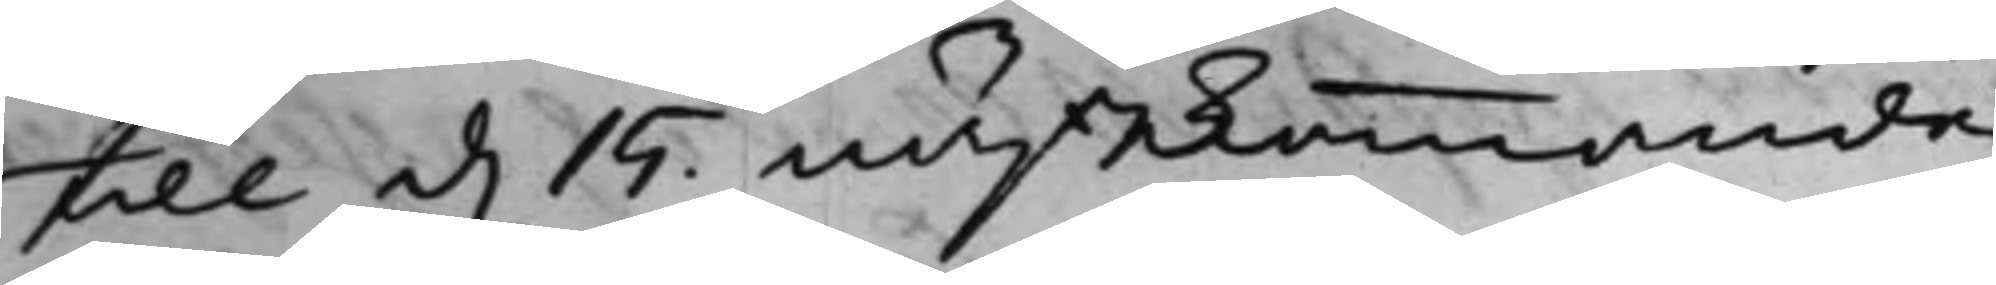till d. 15. nästkommande
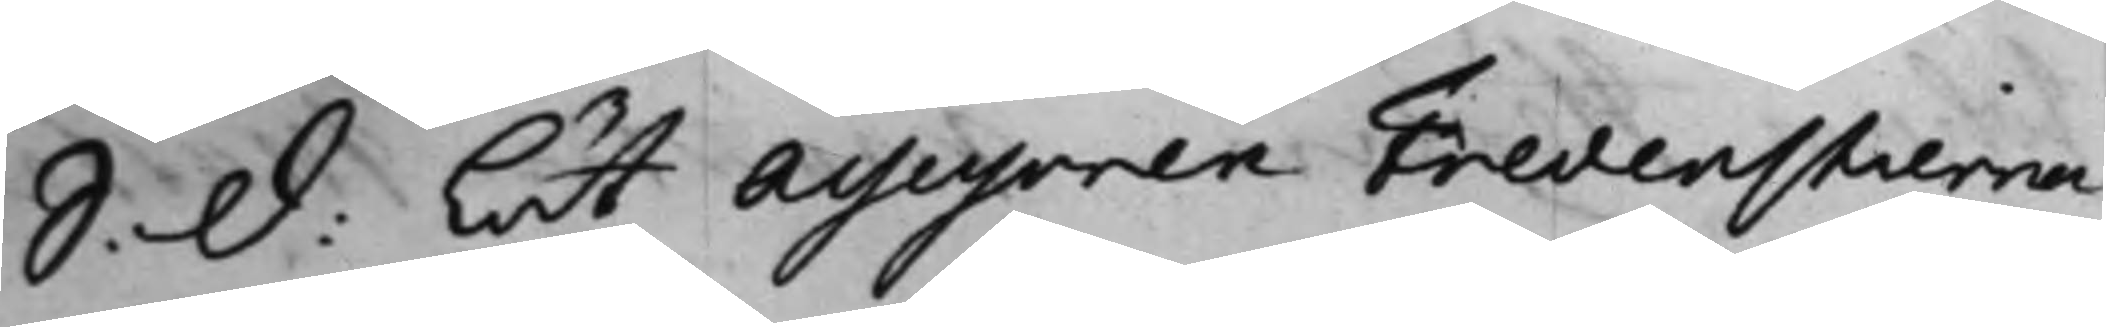S: d. Lät Assessoren Fredenstierna
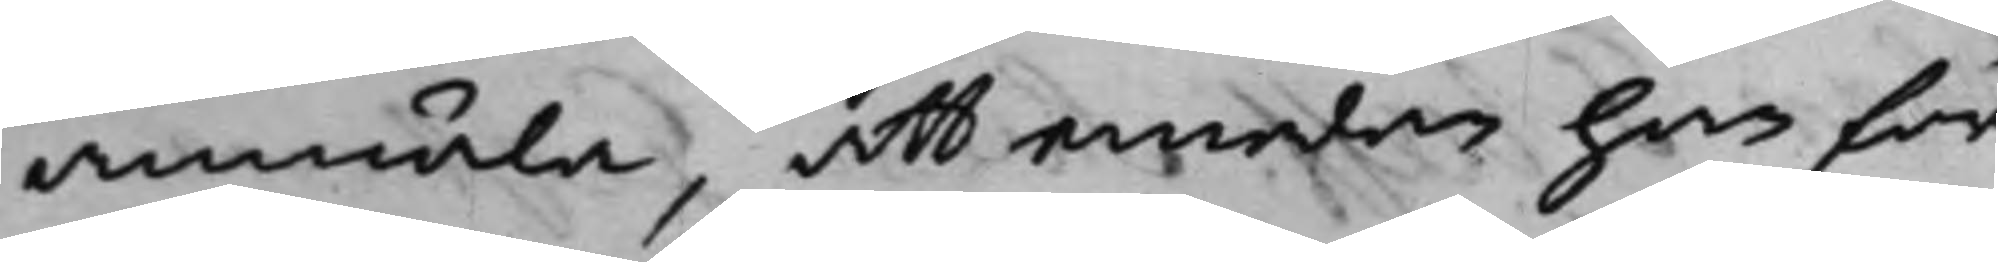anmäla, att emedan han för¬
